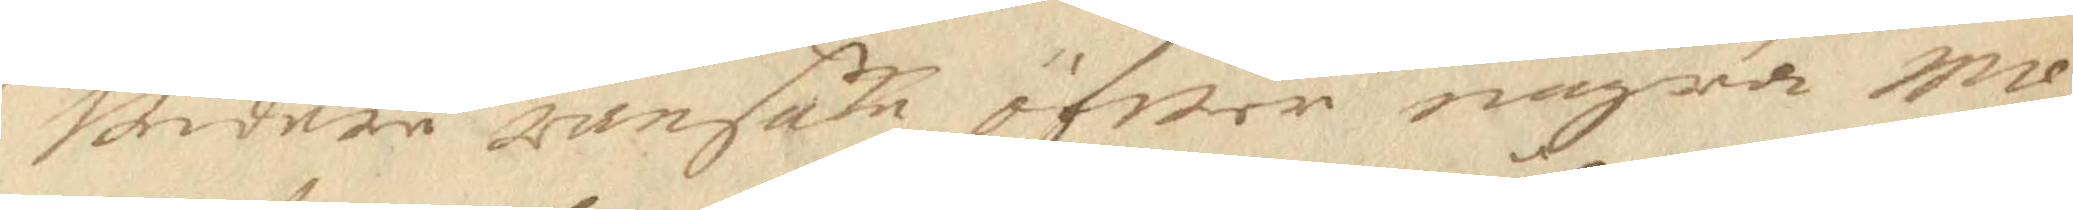widare ransaka öfwer några mo¬
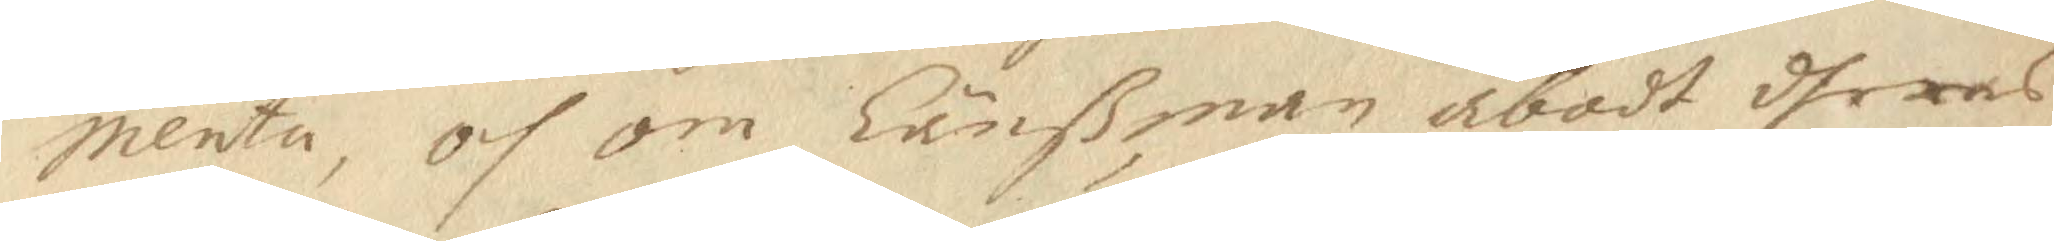menta, och om Länßman åbodt dheras
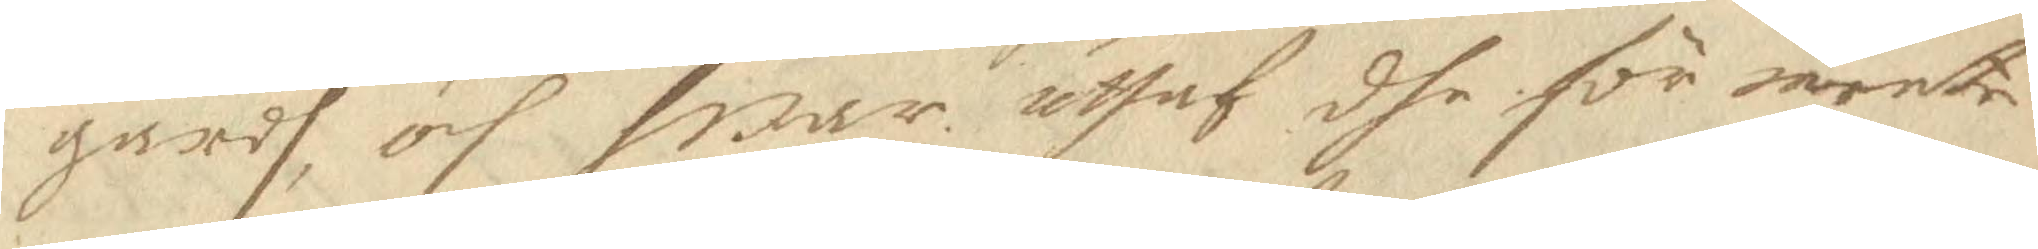gårdh, och hwar uthaf dhe för mente
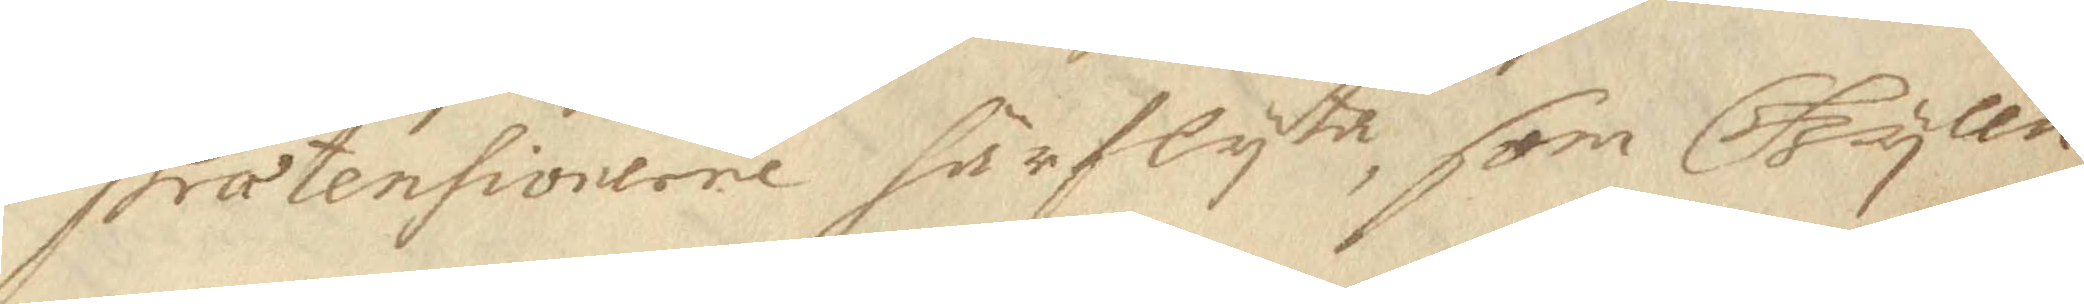prætensionerne härflyta, som Gyllen¬
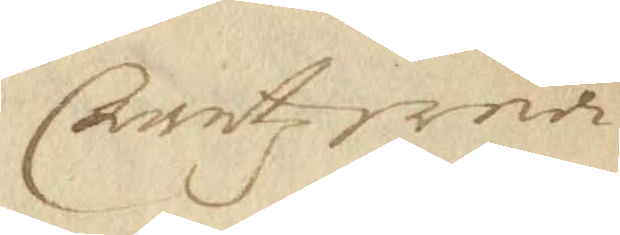Crantz wed
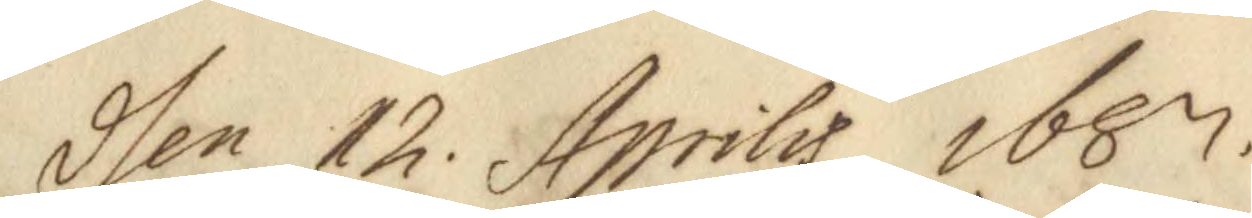dhen 12. Aprilis 1687.
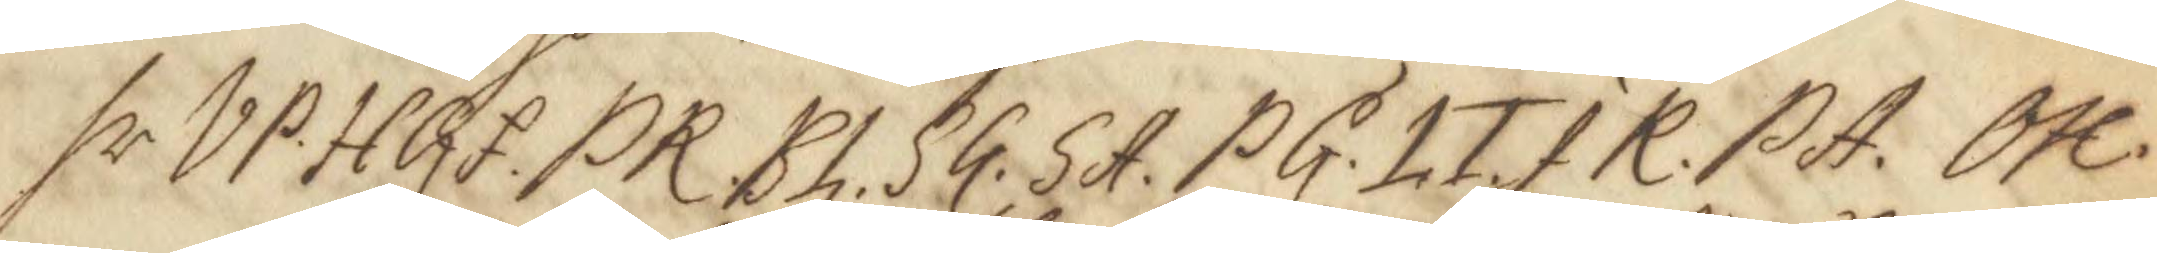hr VP. HGf. PR. BL. SG. SA. PG. LT. JR. PA. OH. 
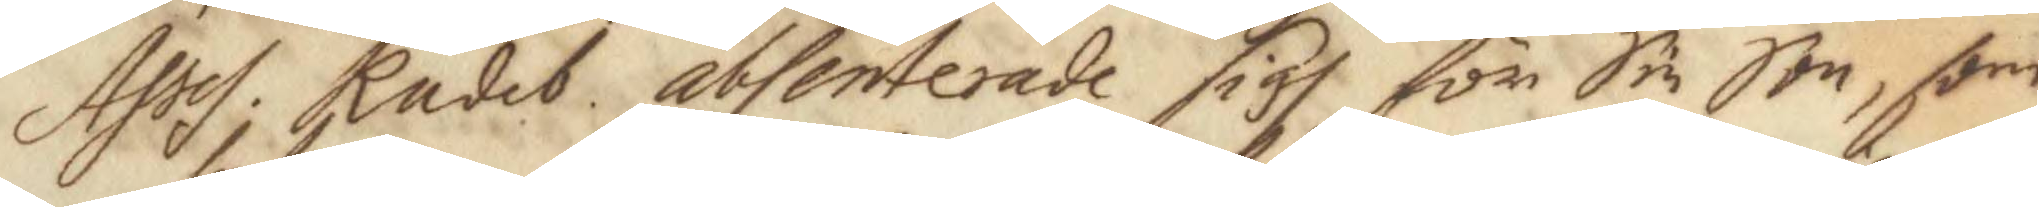Ases. Rades absenterade sigh för Sin Son, som 
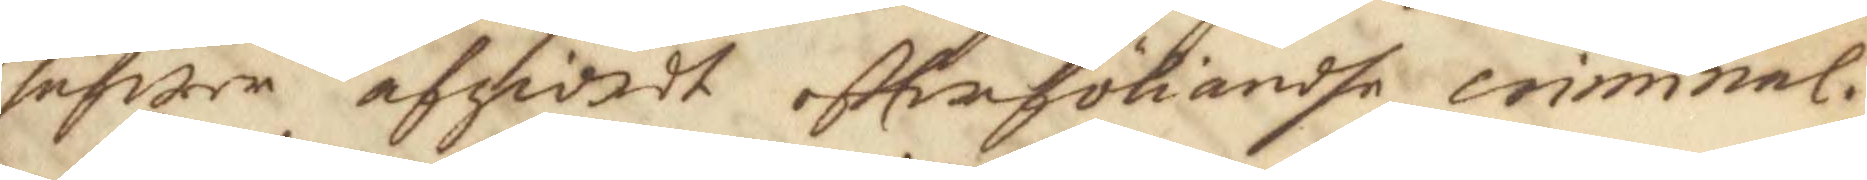hafwer afgiordt eftterföliandhe crimnal.
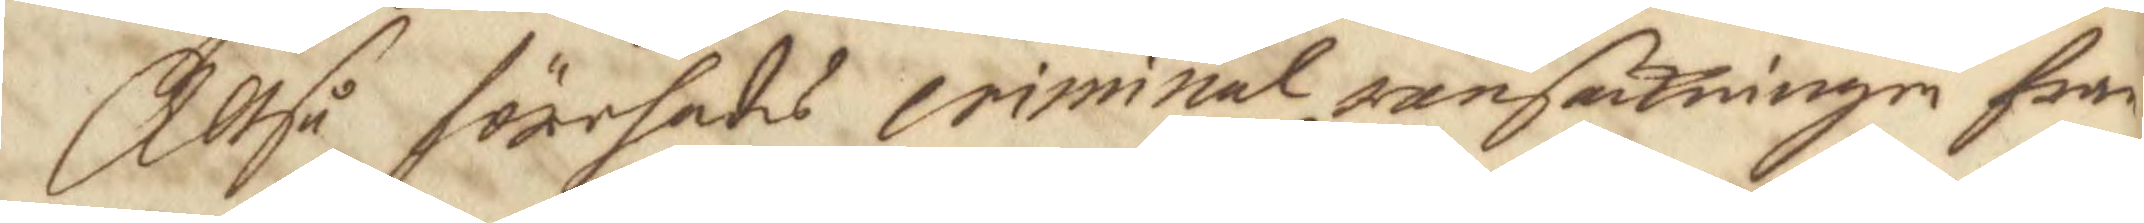Allså förehades criminal ransakningen från
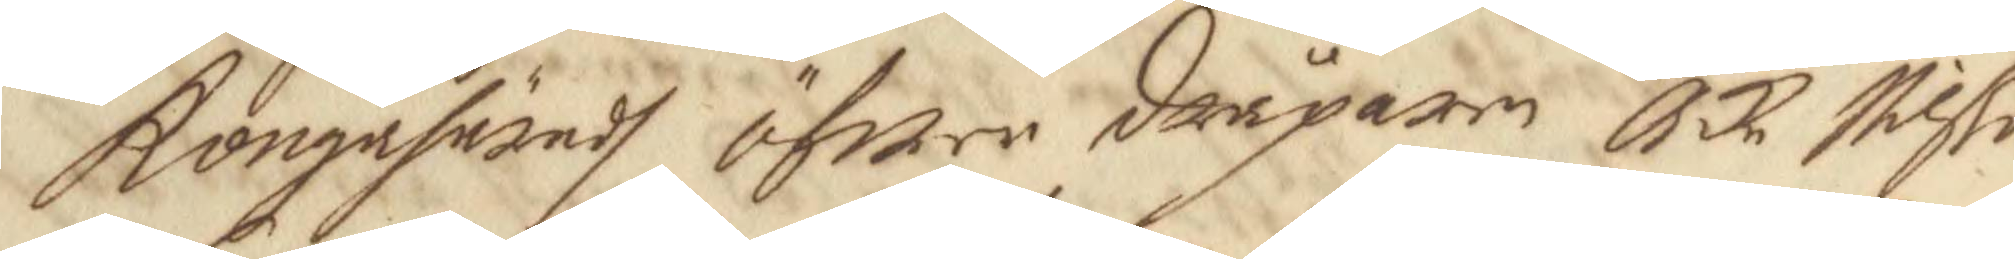Kongahäradh öfwer dråparen Åke Nilßo
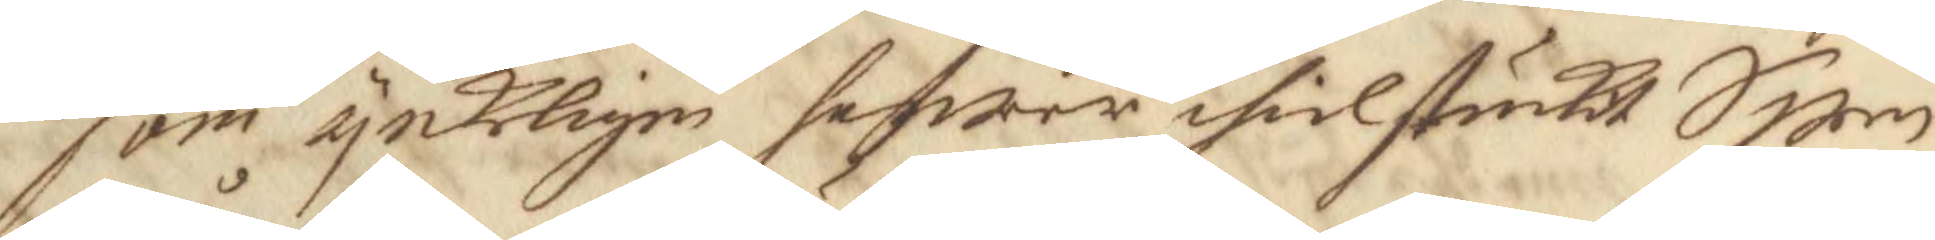som ynkeligen hafwer ihielstuckit Swen
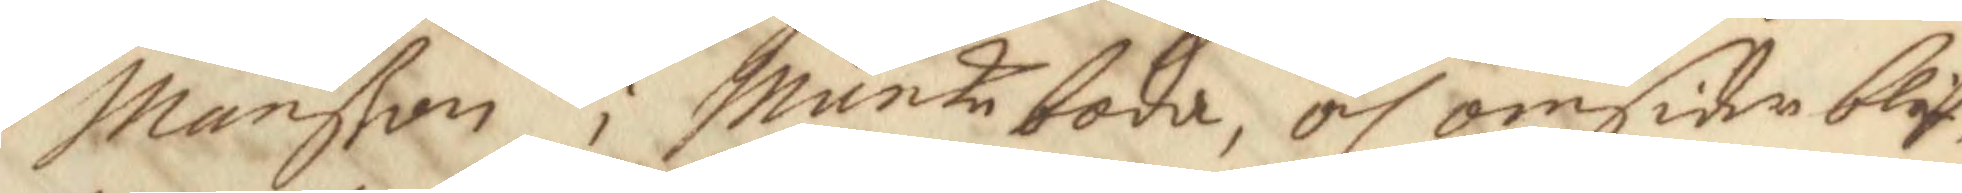Månßon i Munkeboda, och omsider blif¬
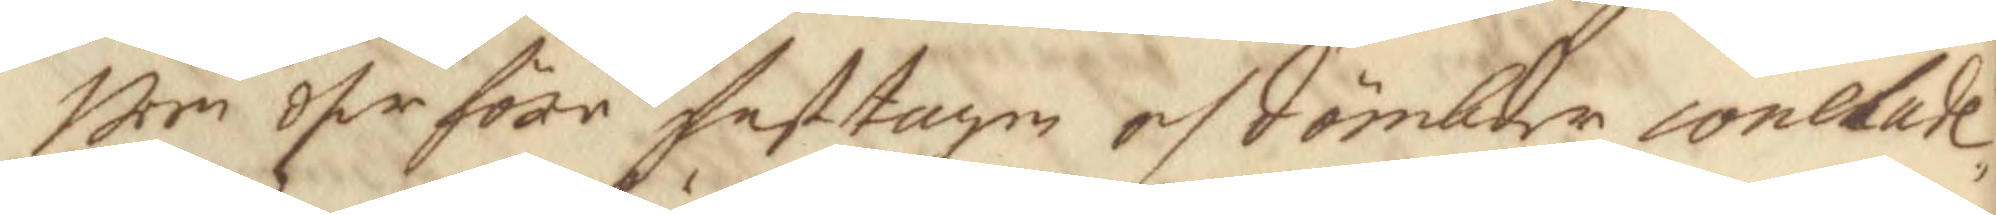wen dher före fasttagen och dömbder conelate¬ 
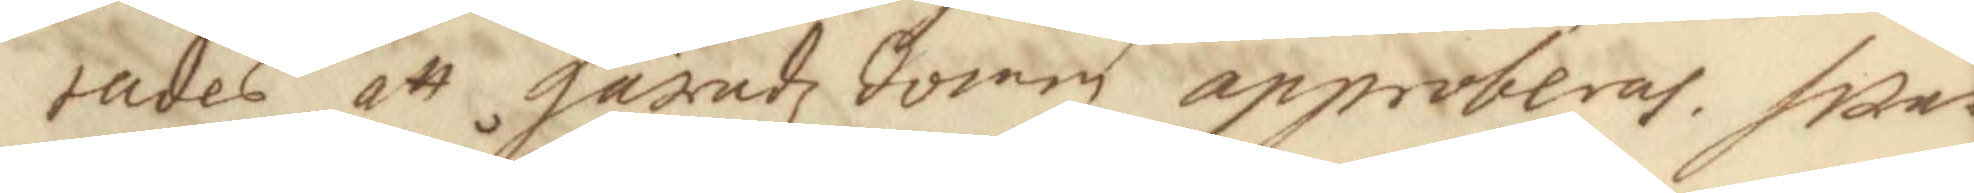rades att häradz domen approberas. hwar
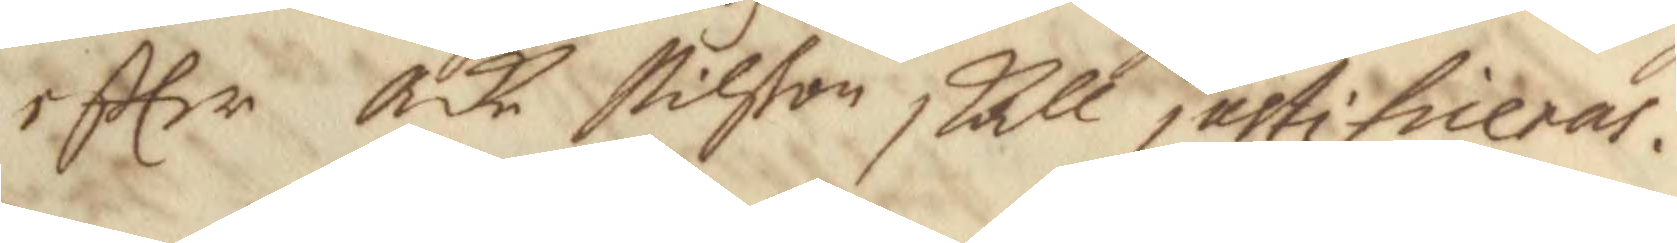eftter Åke Nilßon skall justifieras.
